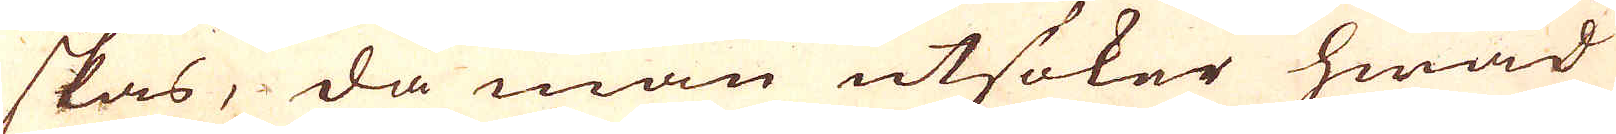skas, då man utsöker hwad
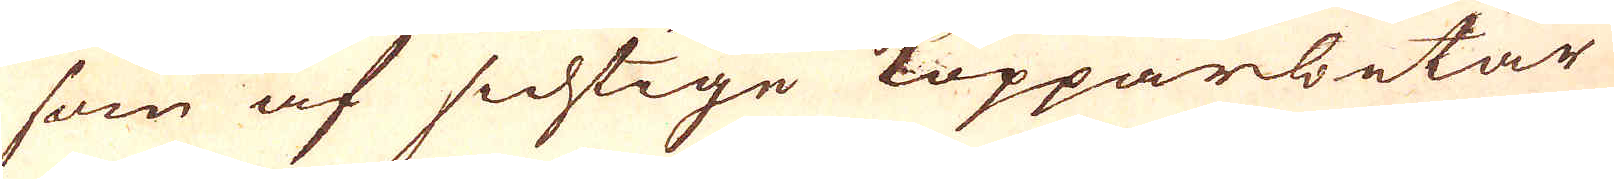som af sichtige Kopparbetar
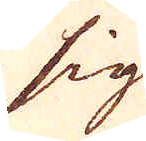sig
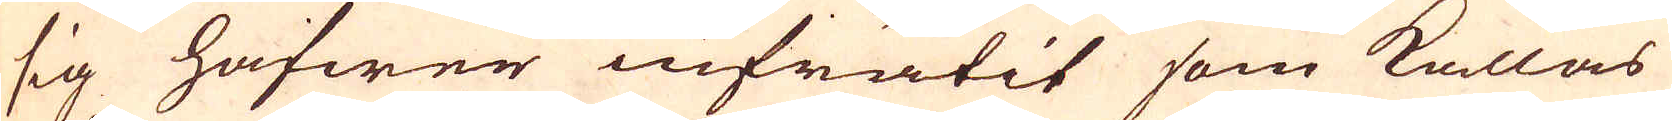sig hafwer infrätit som kallas
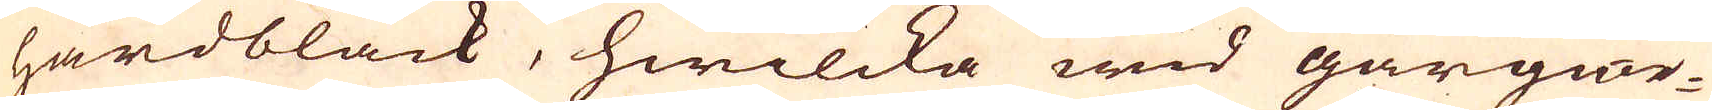härdbläck, hwilcka wid gårgiör-
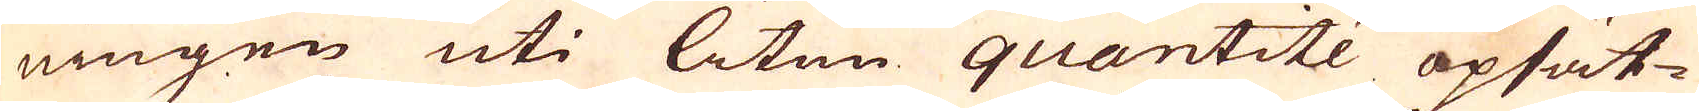ningen uti liten quantité opsät-
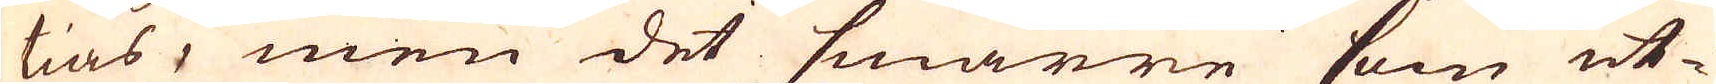tias, men det smärre som ut-
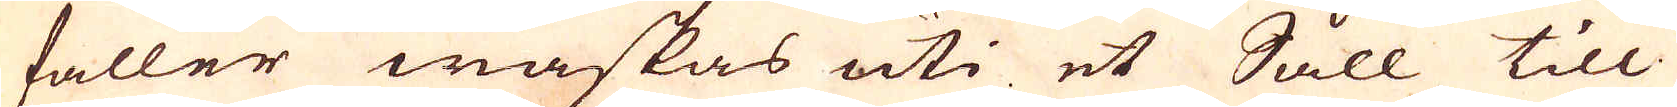faller waskas uti et Såll till
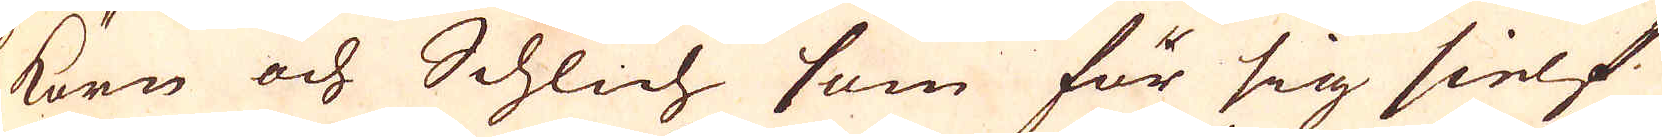Körn och Schlich som för sig sielf
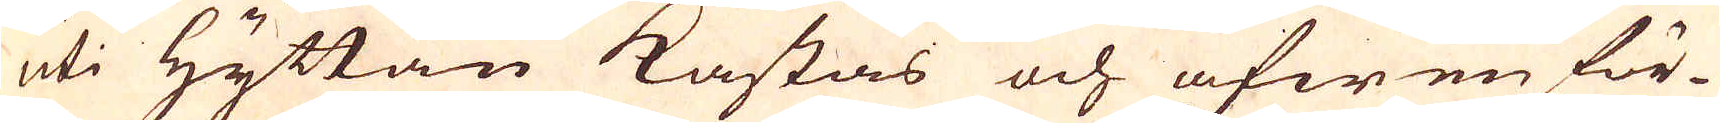uti Hyttan kastas och äfwen för-
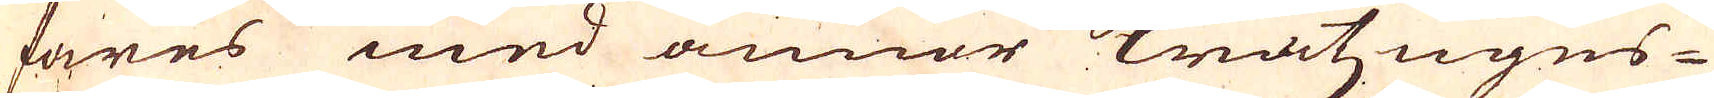fares med annor Kratzugns-
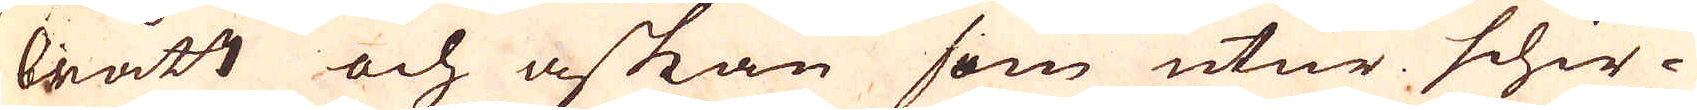brått och askan som utur schir-
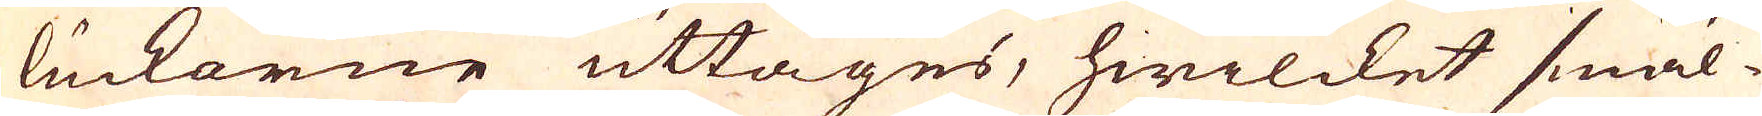luckorne uttages, hwilcket smäl-
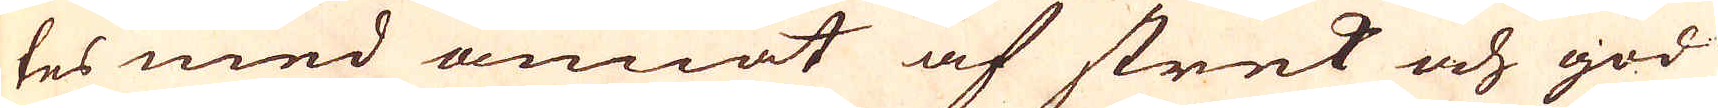tes med annat af strek och god
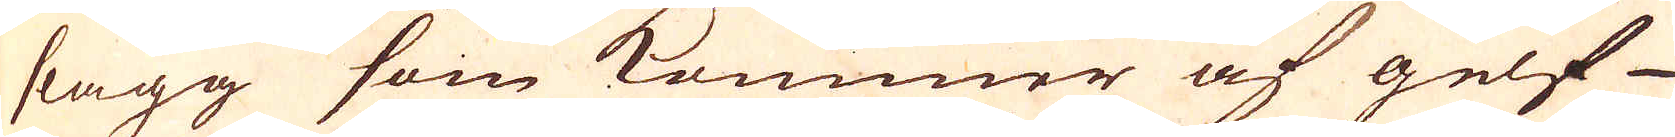slagg som kommer af gelf-
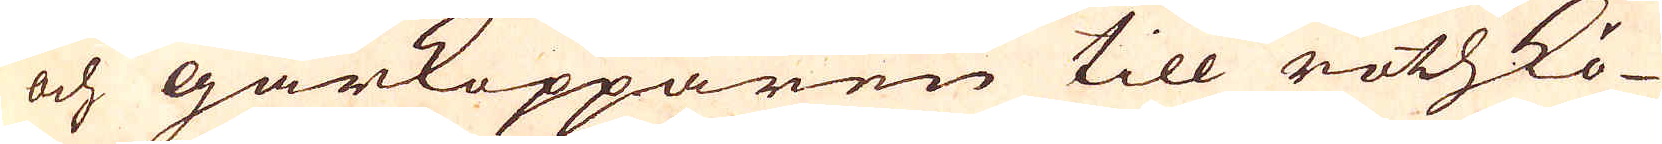och gårkopparen till rothkö-
